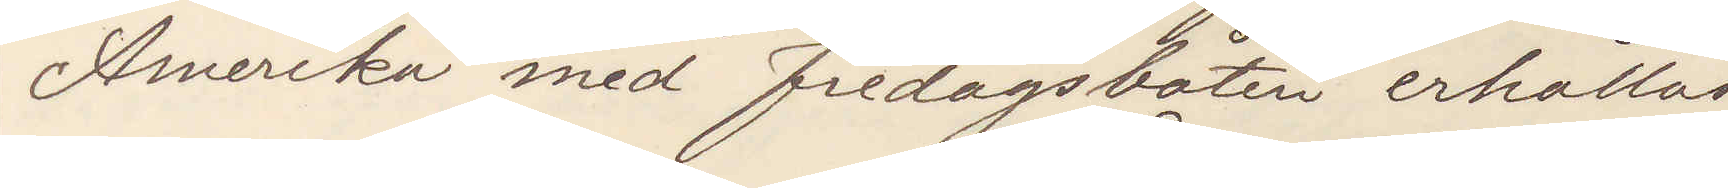Amerika med fredagsbåten erhållas
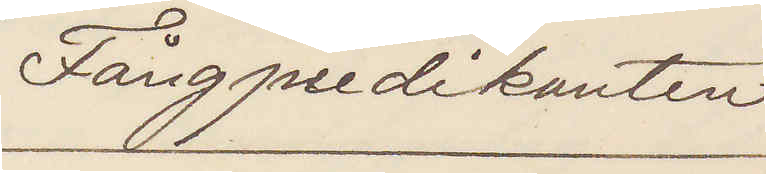Fångpredikanten
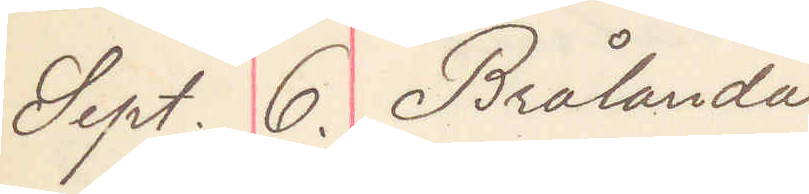Sept. 6. Brålanda
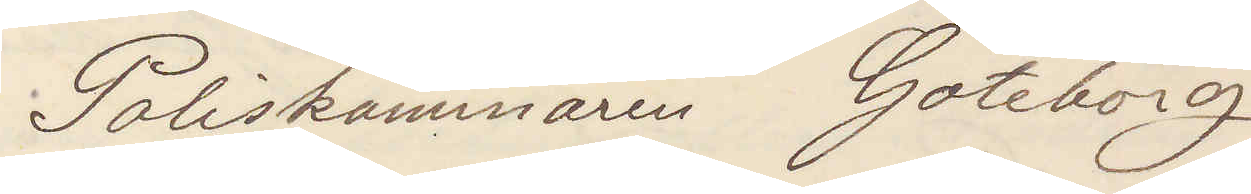Poliskammaren Göteborg
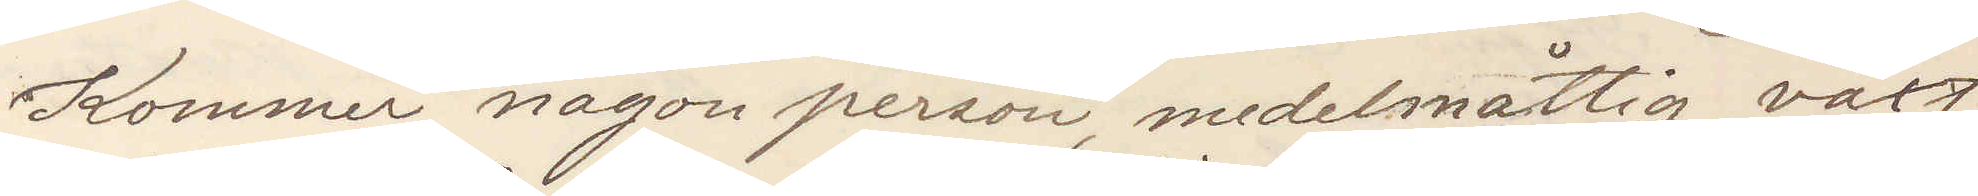Kommer någon person, medelmåttig växt
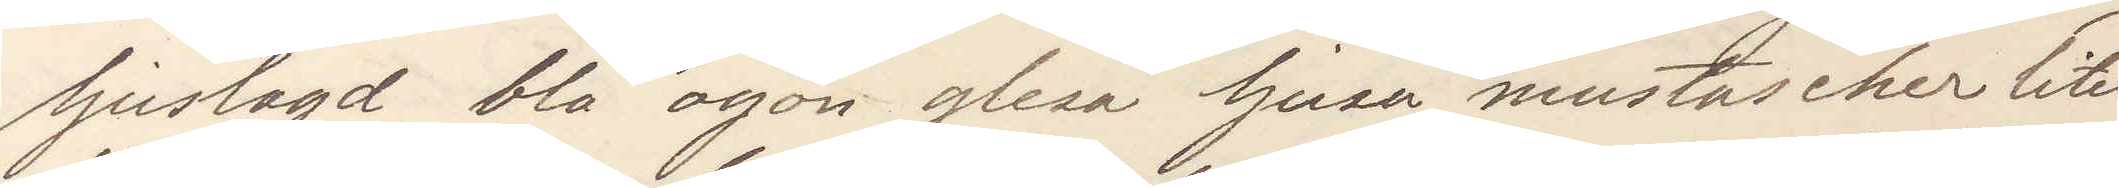ljuslagd, blå ögon glesa ljusa mustascher litet
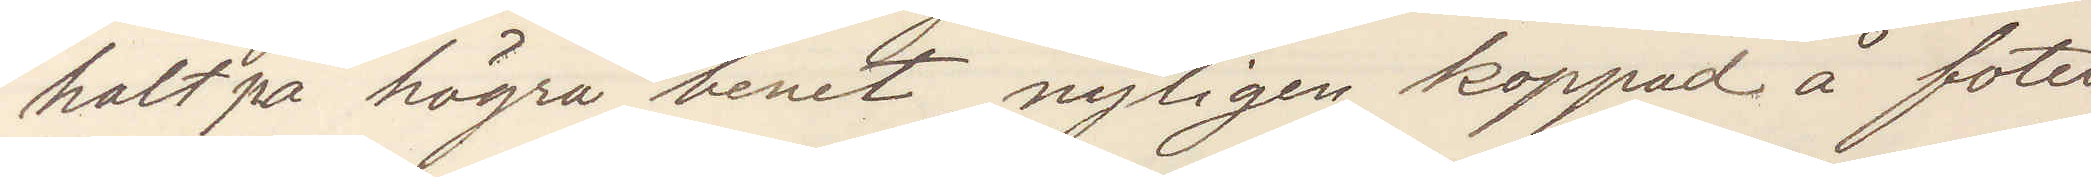halt på högra benet, nyligen koppad å foten
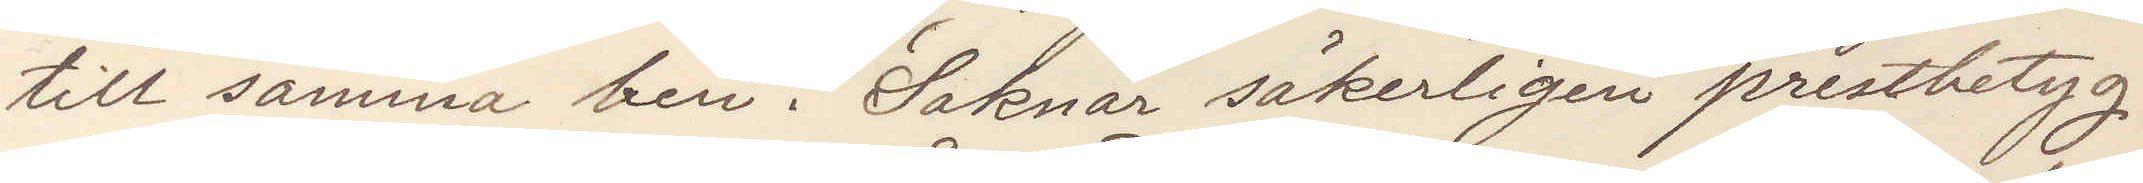till samma ben. Saknar säkerligen prestbetyg.
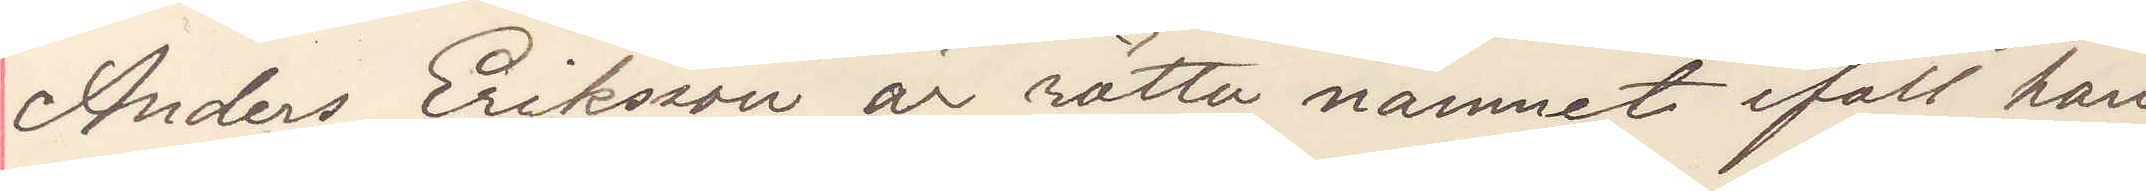Anders Eriksson är rätta namnet ifall han
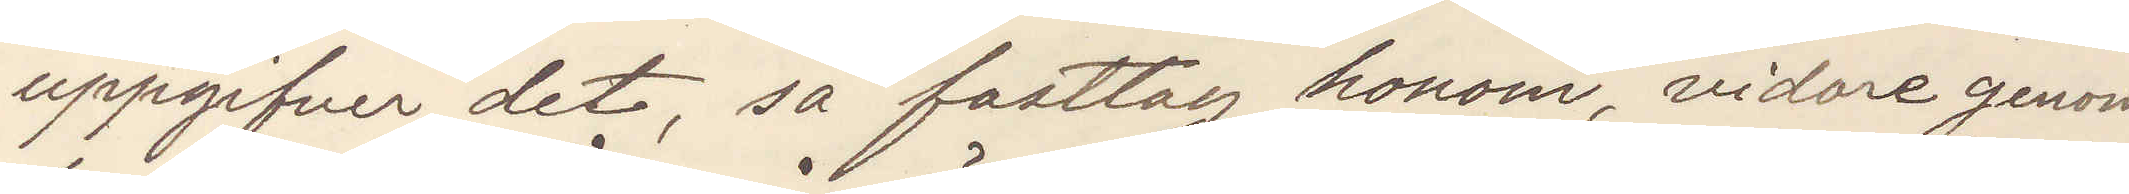uppgifver det, så fasttag honom, vidare genom
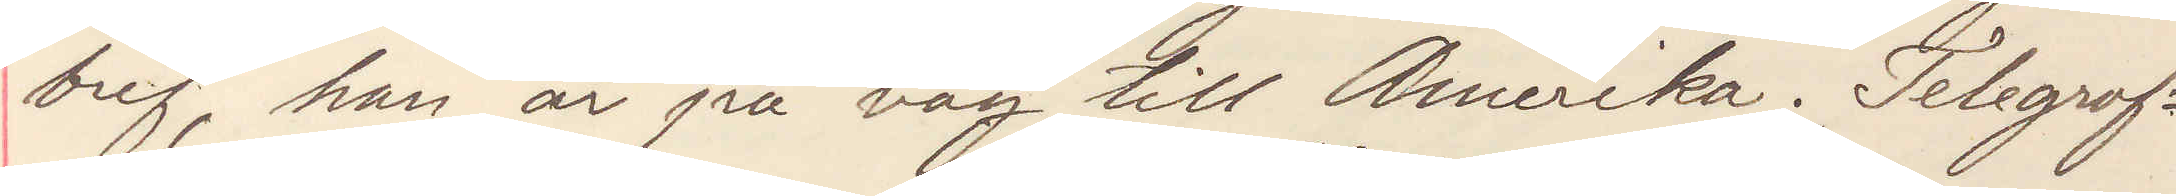bref, han är på väg till Amerika. Telegraf¬
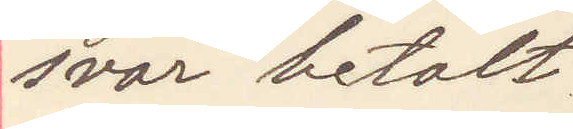svar betalt
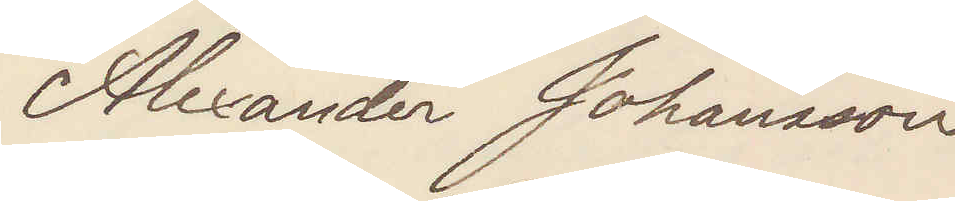Alexander Johansson
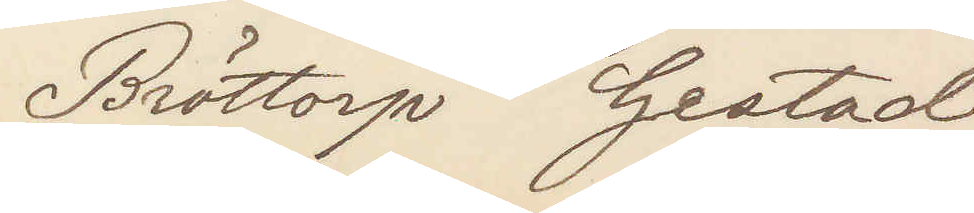Bröttorp Gestad
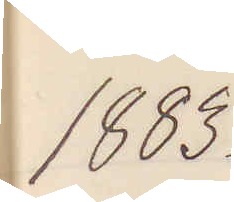1883.
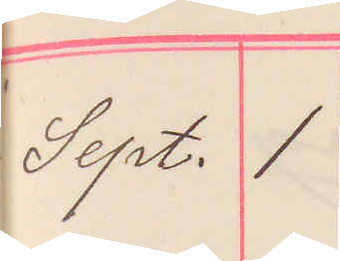Sept. 1
